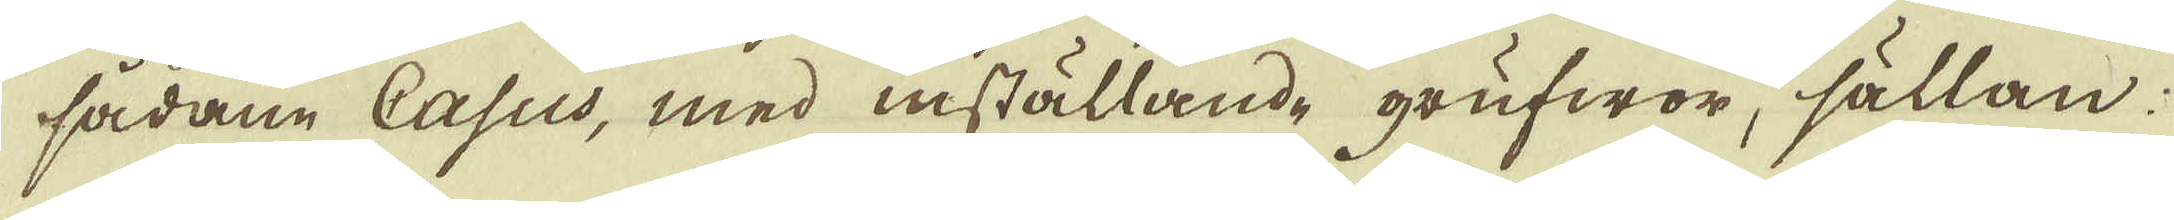sådane Casus, med inställande grufwor, sällan
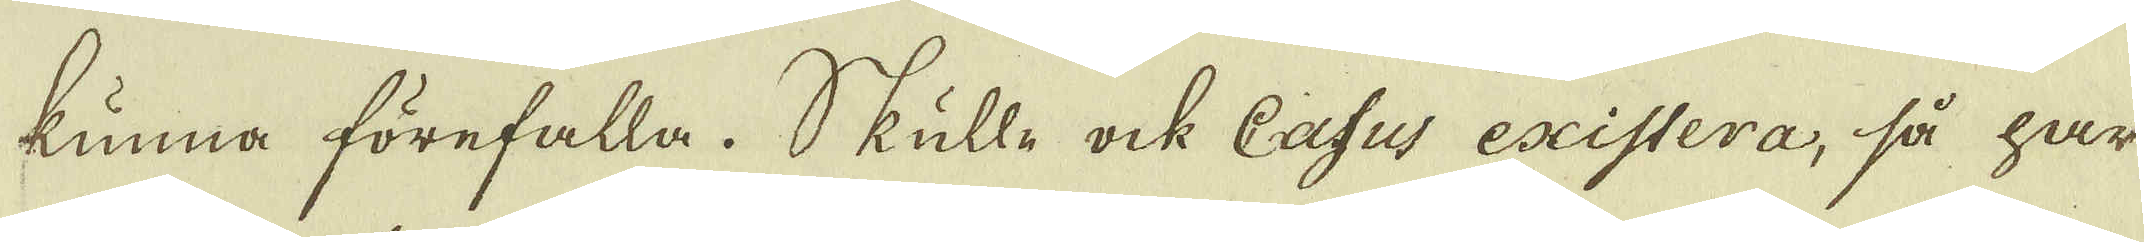kunna förefalla. Skulle ock Casus existera, så har
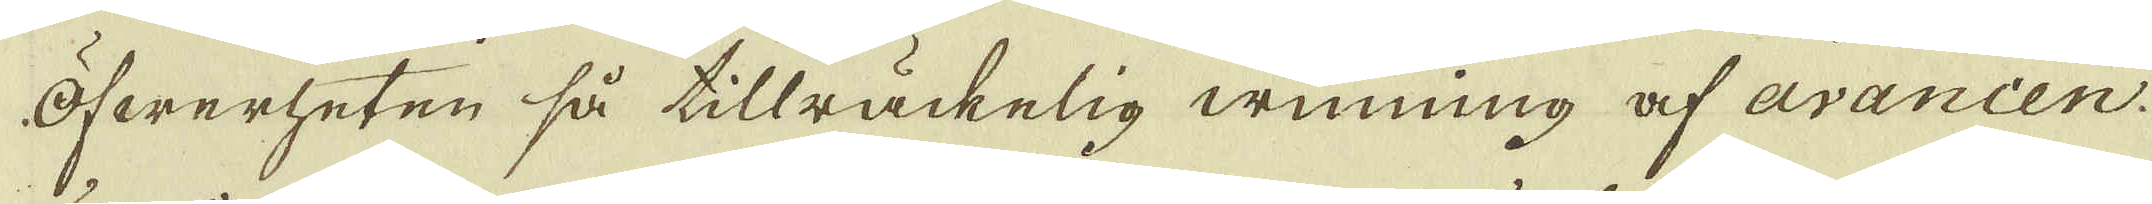öfwerheten så tillräckelig winning af avancen
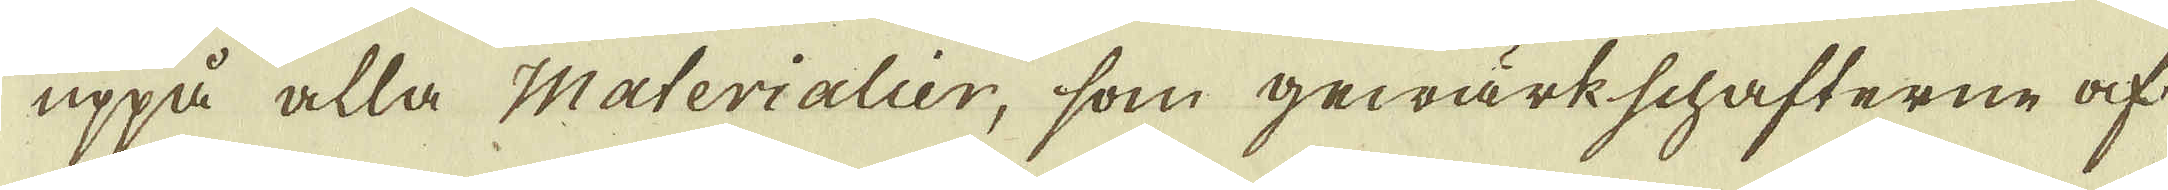uppå alla Materialier, som gewärkschafterne af
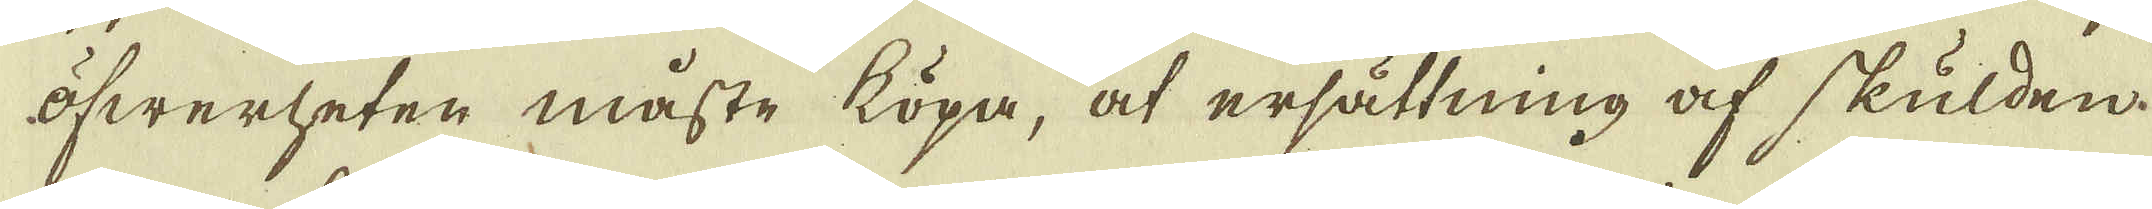öfwerheten måste köpa, at ersättning af skulden
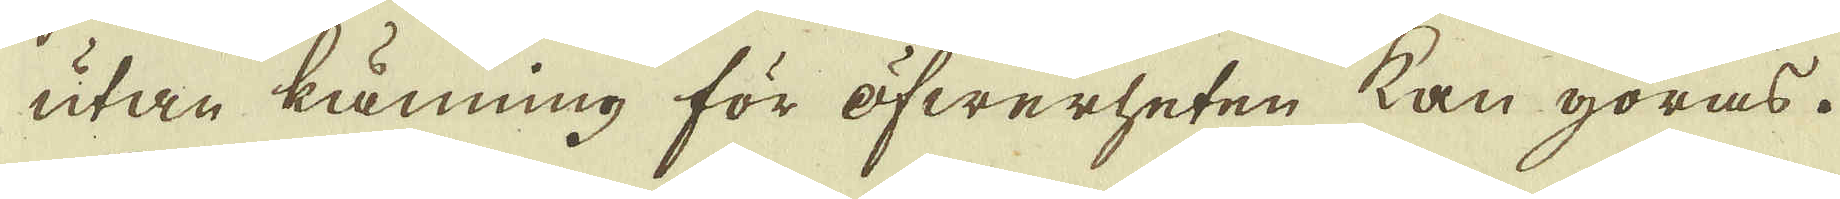utan känning för öfwerheten kan göras.
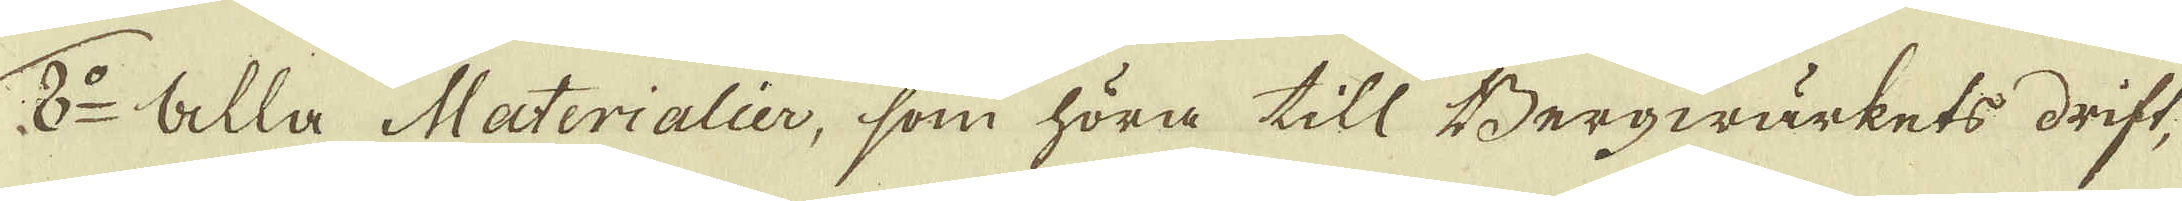2:o Alla Materialier, som höra till Bergwärkets drift,
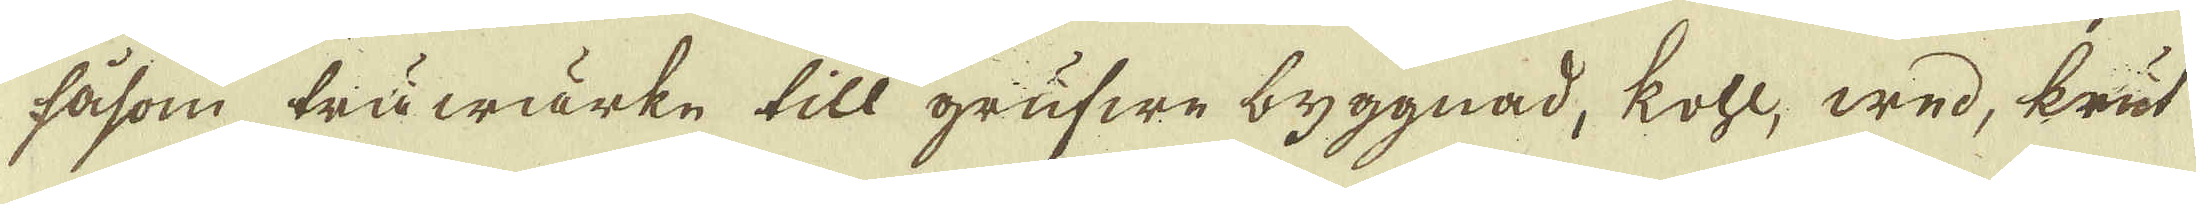såsom träwärke till grufwe byggnad, kohl, wed, krut
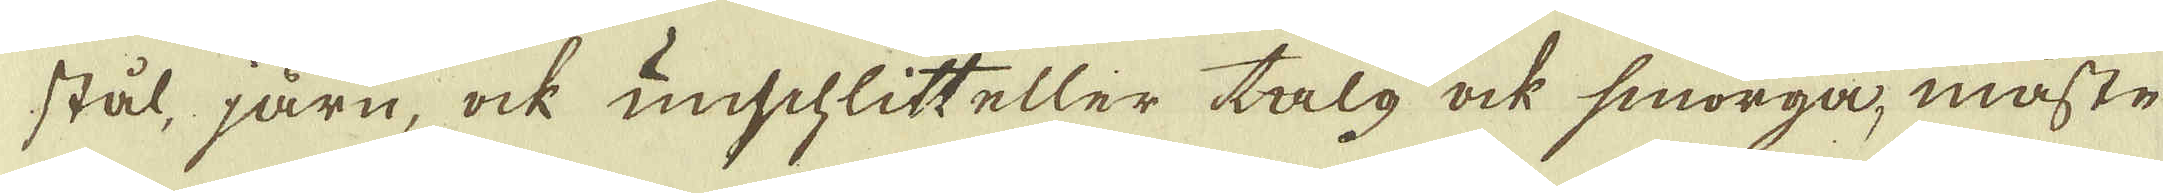stål, järn, ock unschlitt eller talg ock smörga, måste
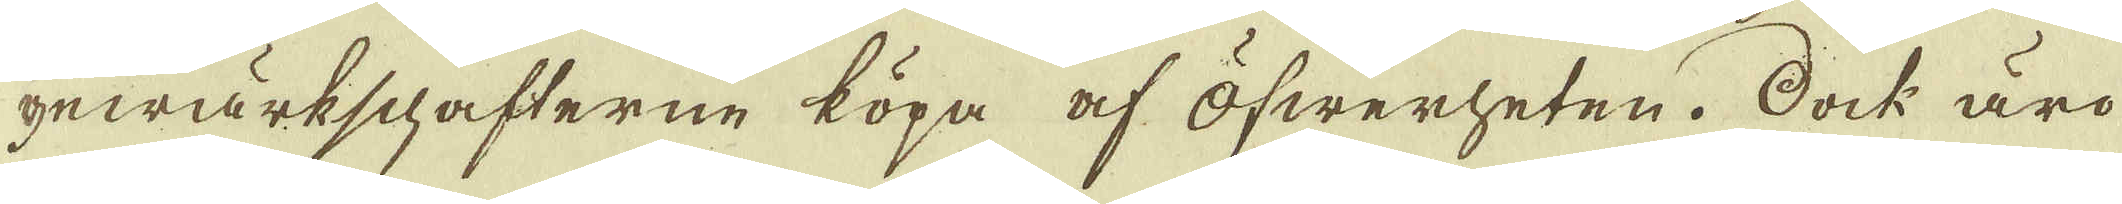gewärkschafterne köpa af öfwerheten. Dock äro
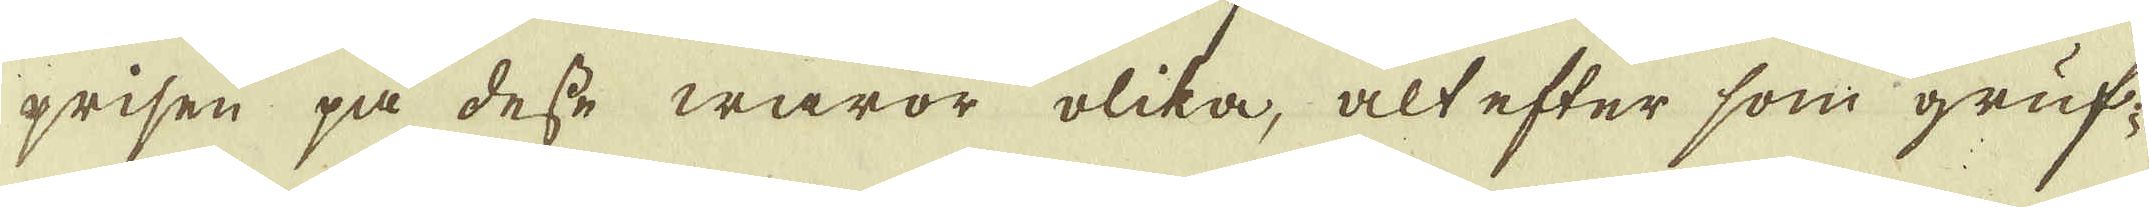prisen på desse waror olika, alt efter som gruf-
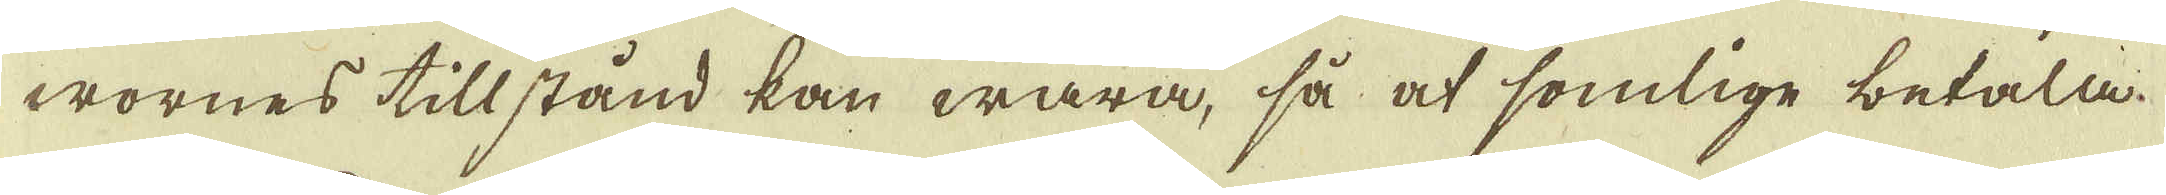wornes tillstånd kan wara, så at somlige betala
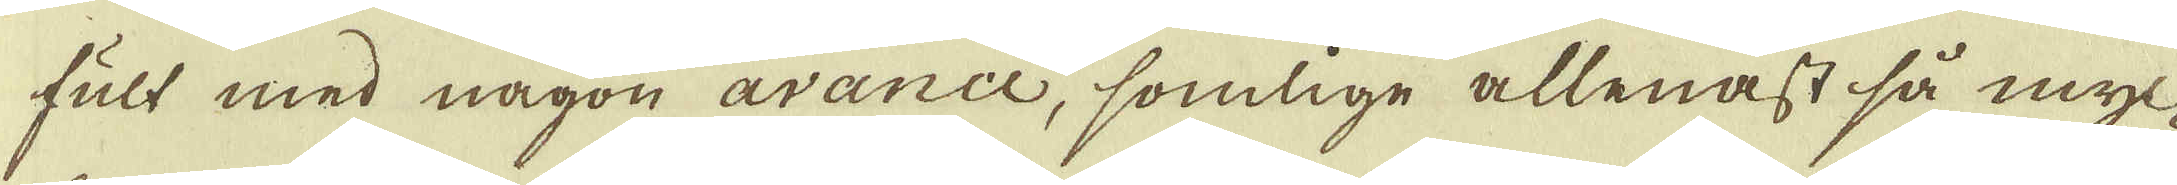fult med någon avance, somlige allenast så myc-
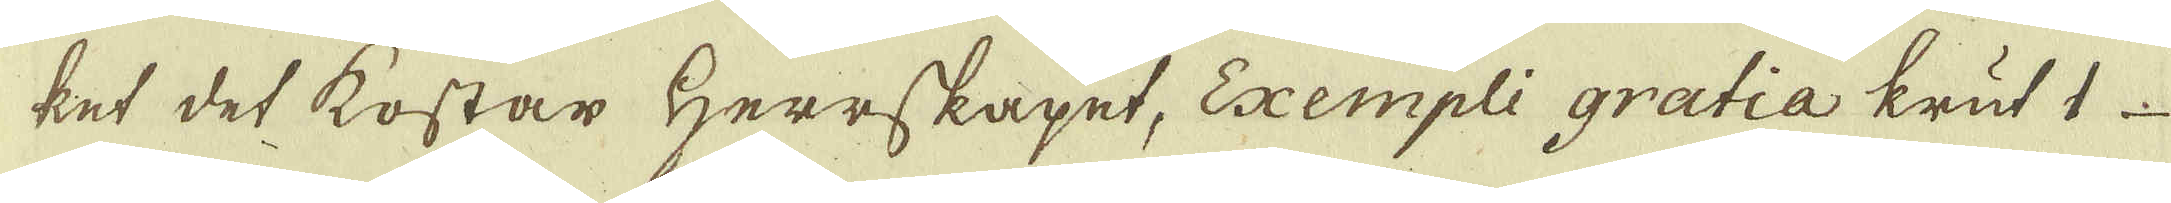ket det kostar Herrskapet, Exempli gratia krut 1
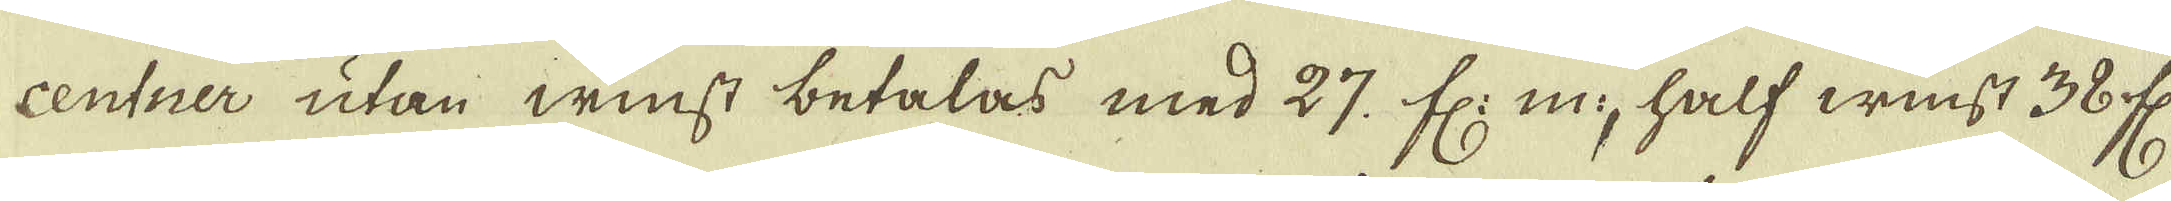centner utan winst betalas med 27. fl: m:, half winst 38 fl:
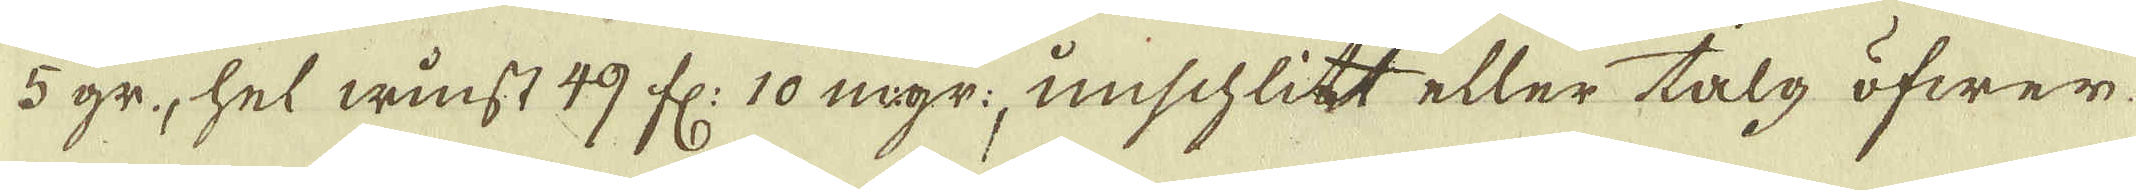5 gr, hel winst 49 fl: 10 mgr: unischlitt eller talg öfwer
